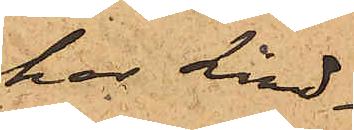har Lind¬
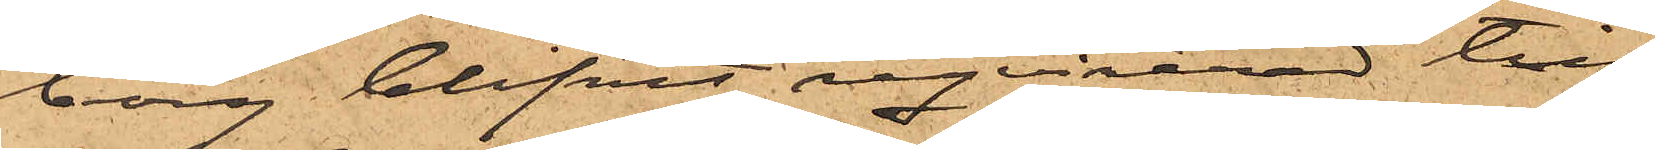borg blifvit reqvirerad till
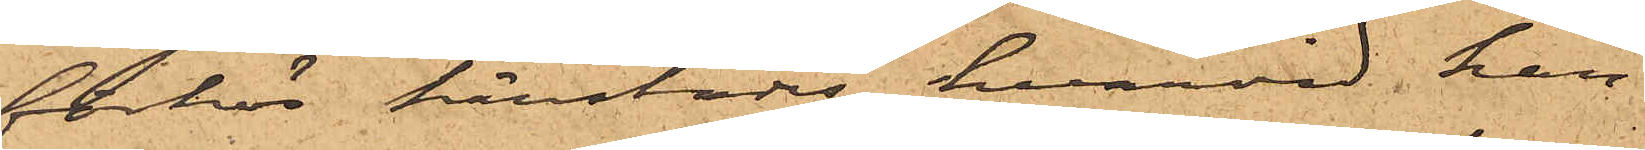förhör härstädes, hvarvid han
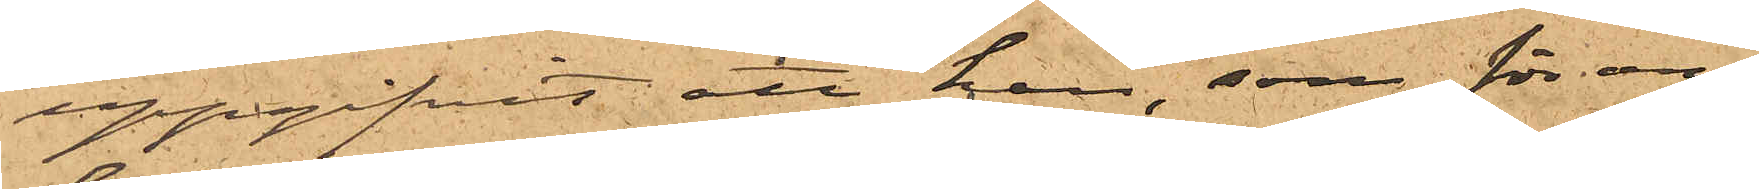uppgifvit att han, som för om¬
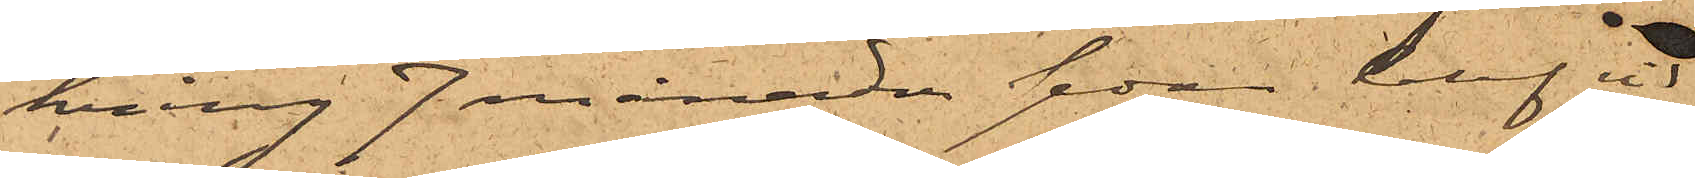kring 7 månader sedan blef vid
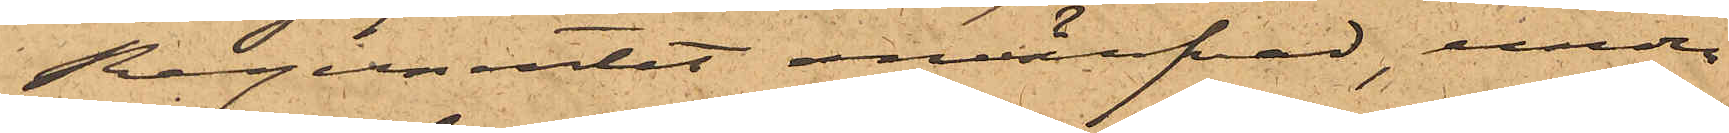Regementet invärfvad, under
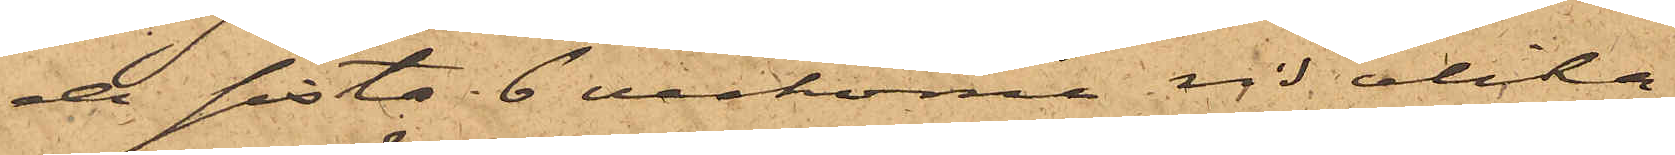de sistl. 6 veckorna vid olika
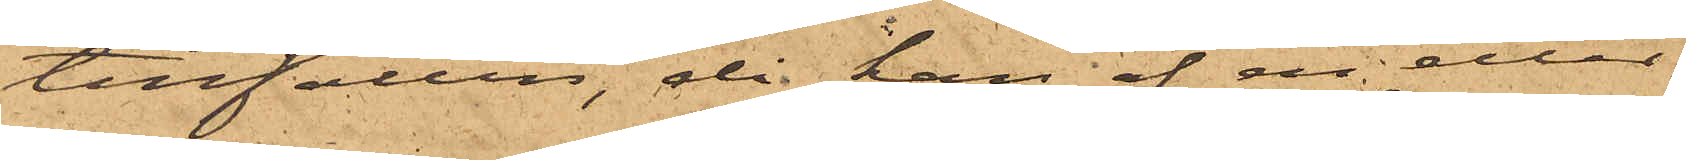tillfällen, då han af en eller
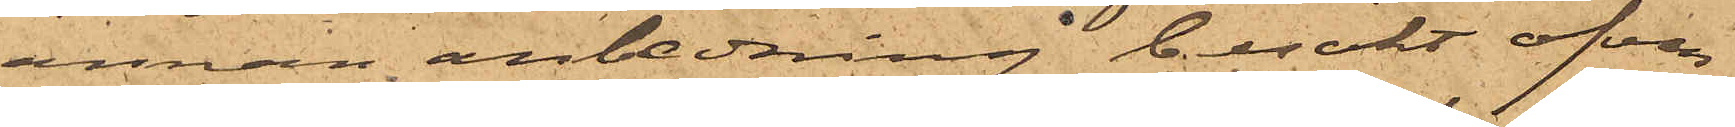annan anledning besökt ofvan¬
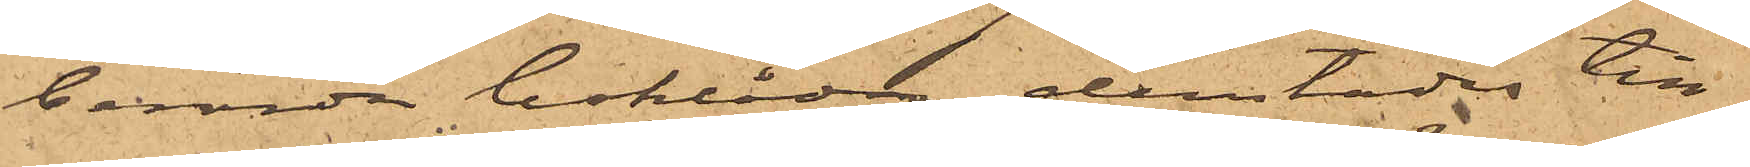berörda boklåda, derstädes till¬
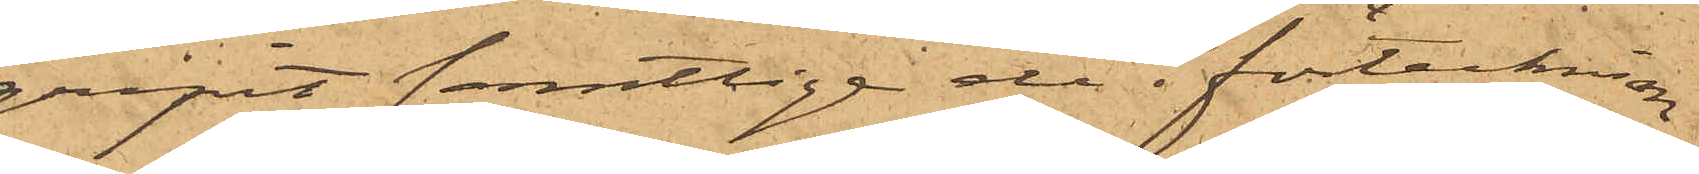gripit samtliga de i förteckning
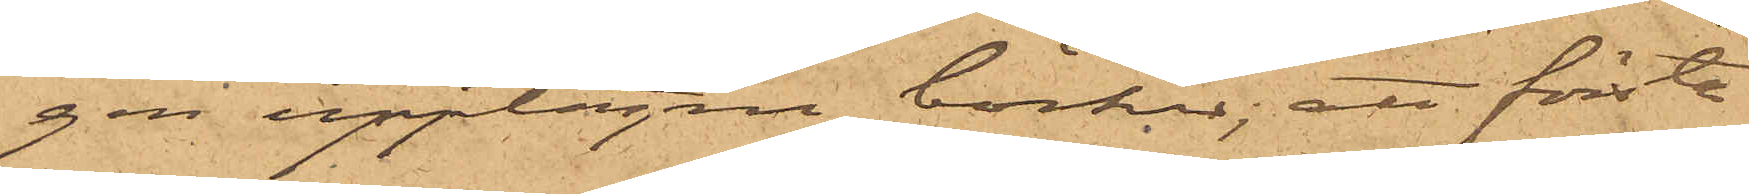gen upptagna böcker; att första
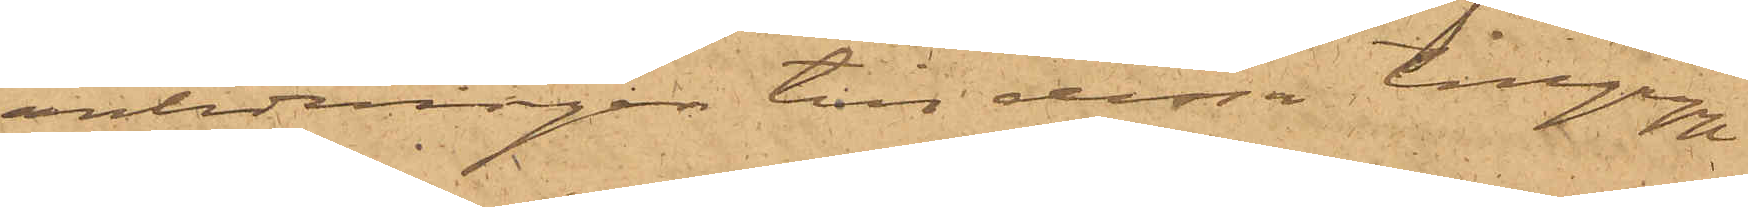anledningen till dessa tillgrepp
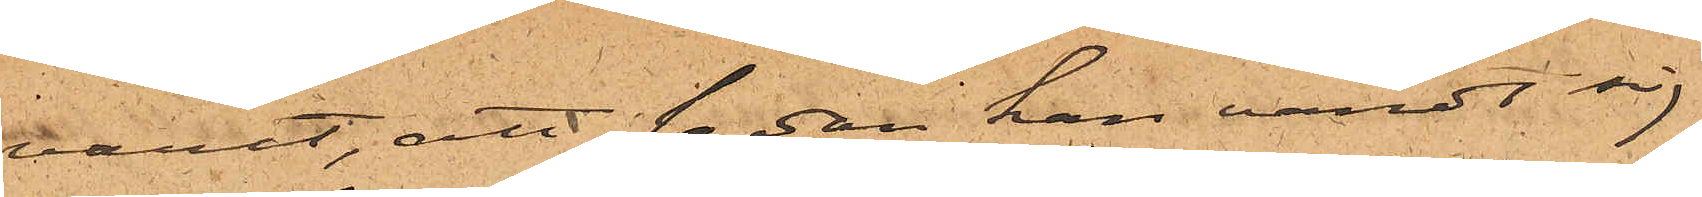varit, att sedan han vändt sig
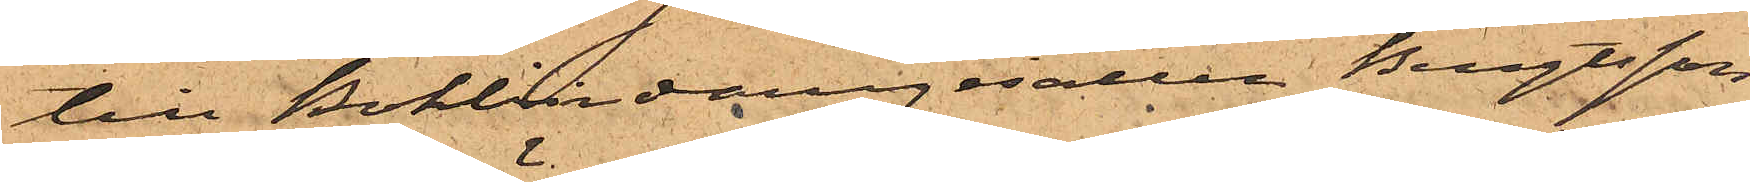till Bokbindaregesällen Bengtsson
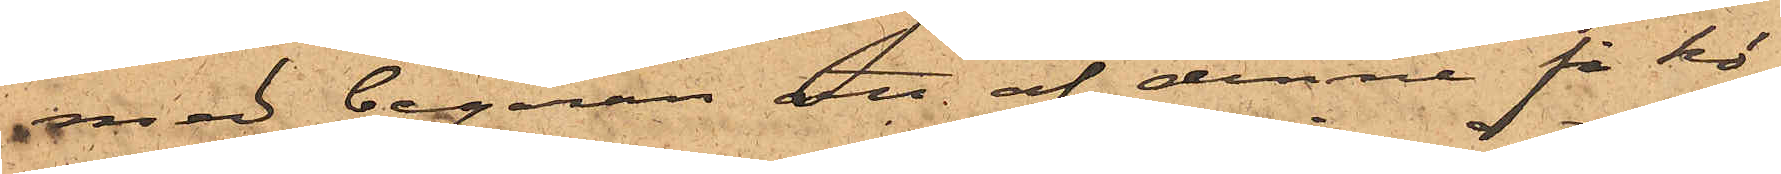med begäran att af denne få kö¬
